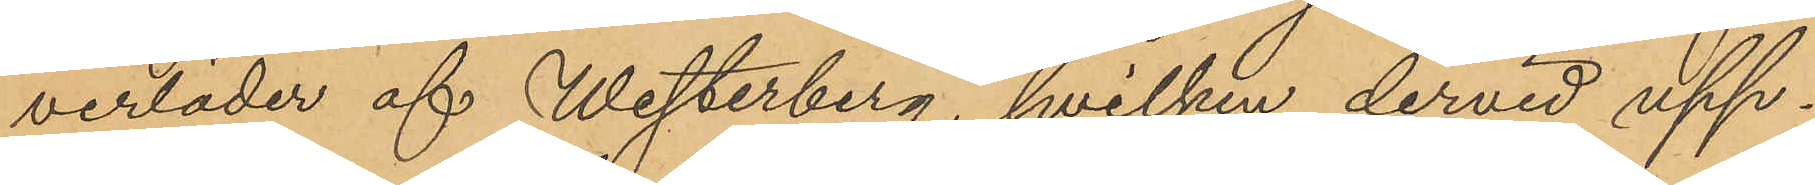verläder af Westerberg, hvilken dervid upp¬
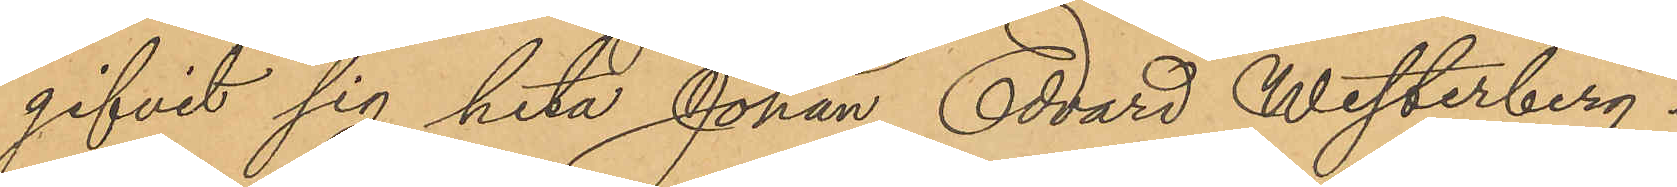gifvit sig heta Johan Edvard Westerberg.
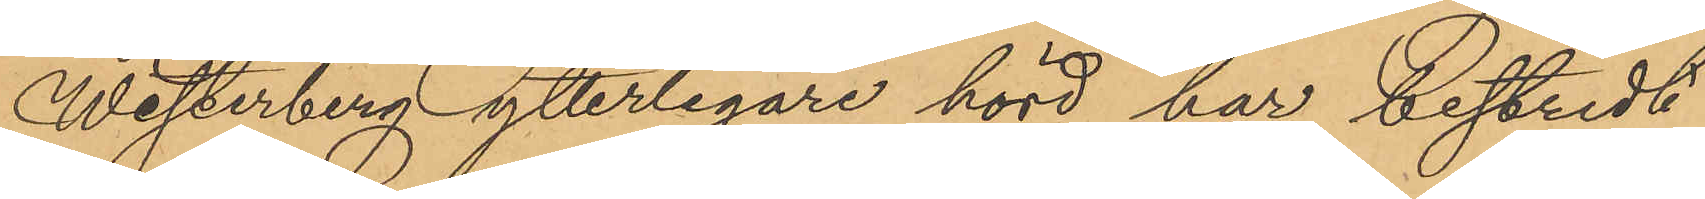Westerberg ytterligare hörd har bestridit
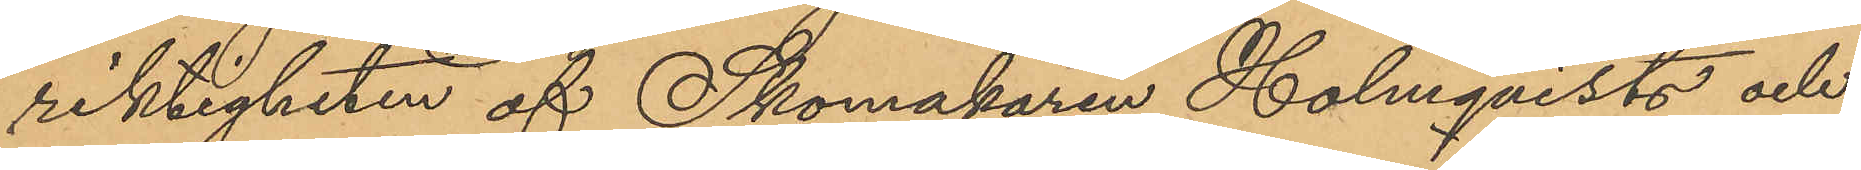riktigheten af Skomakaren Holmqvists och
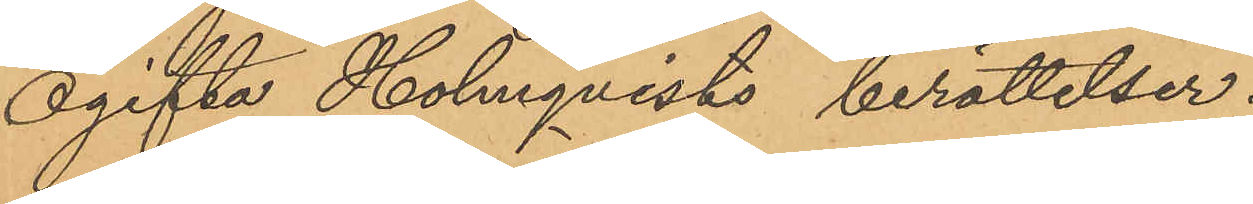Ogifta Holmqvists berättelser.
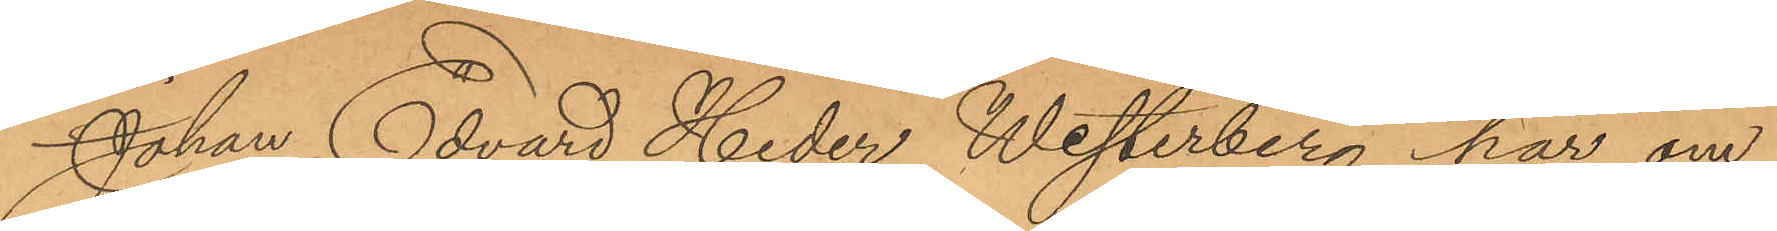Johan Edvard Heder Westerberg har om
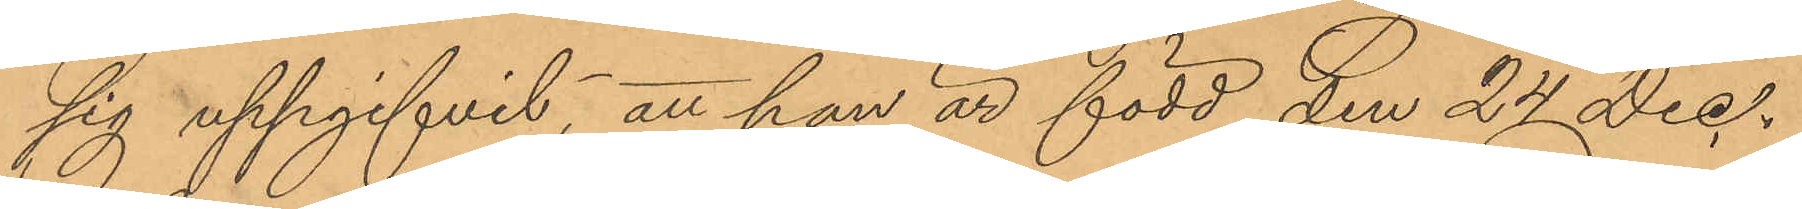sig uppgifvit, att han är född den 24 Dec.
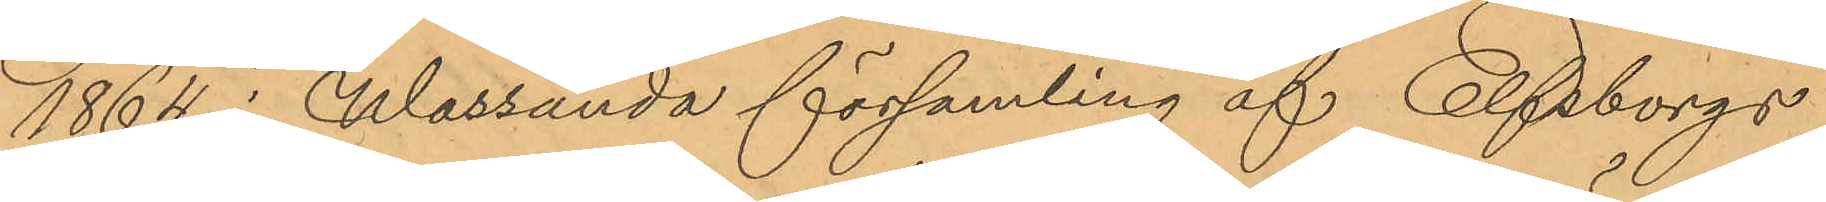1864 i Wassända församling af Elfsborgs
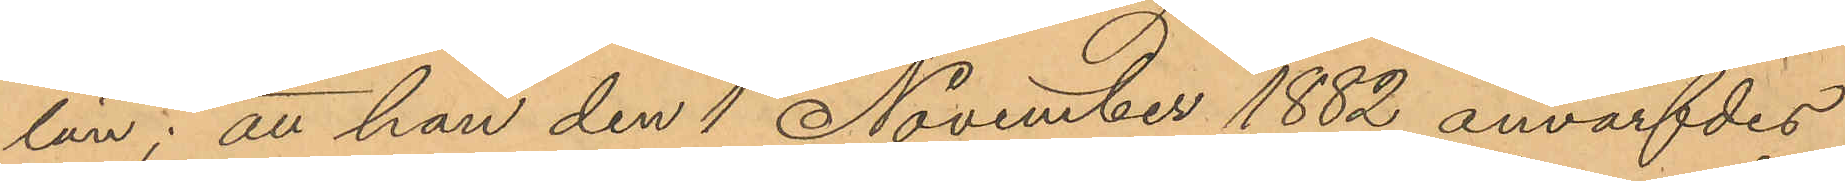län; att han den 1 November 1882 anvärfdes
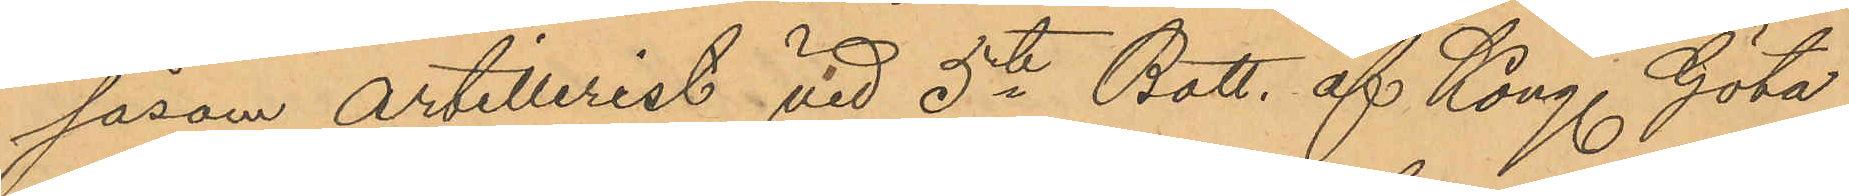såsom artillerist vid 5te Batt. af Kong Göta
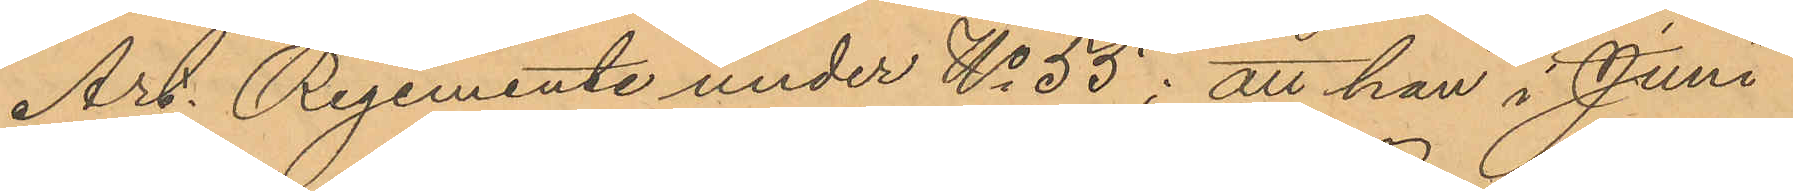Art. Regemente under No 55; att han i Juni
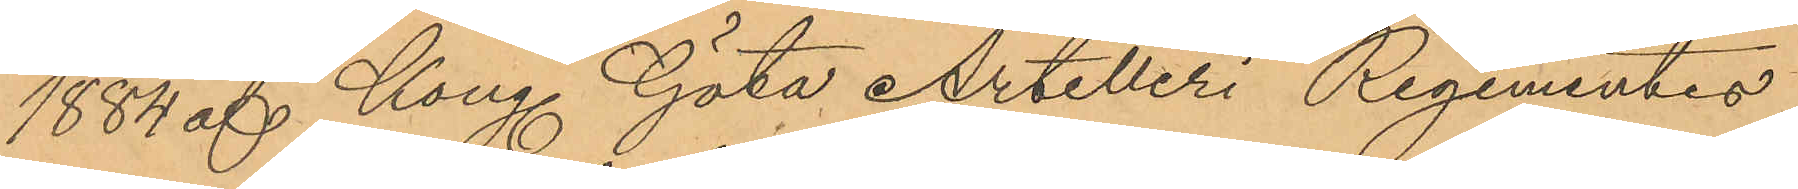1884 af Kong Göta Artilleri Regementes
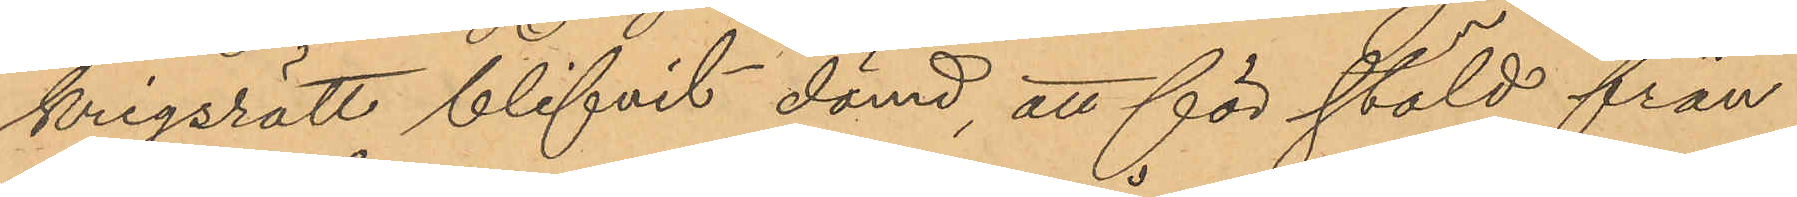krigsrätt blifvit dömd, att för stöld från
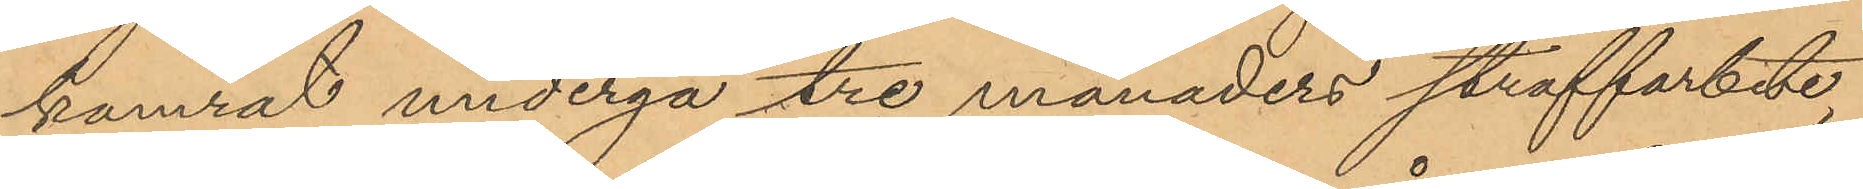kamrat undergå tre månaders straffarbete,
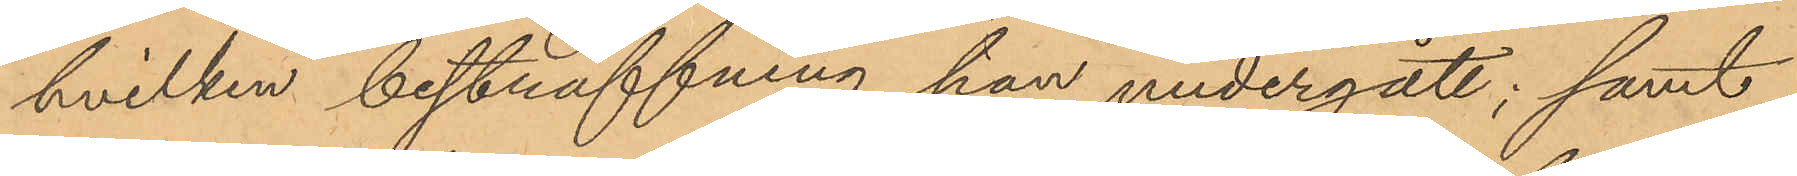hvilken bestraffning han undergått; samt
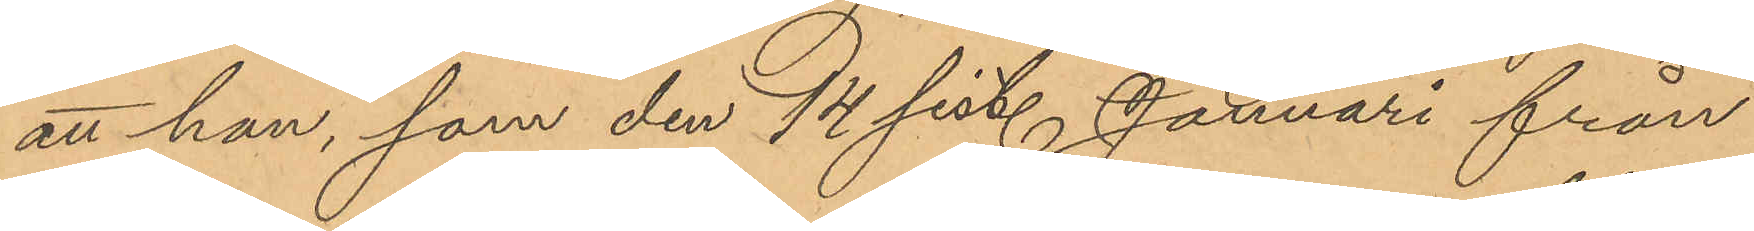att han, som den 14 sist. Januari från
